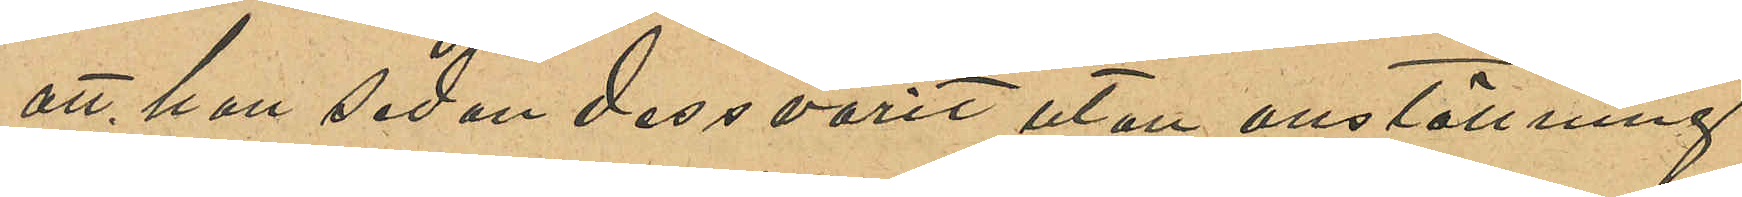att han sedan dess varit utan anställning
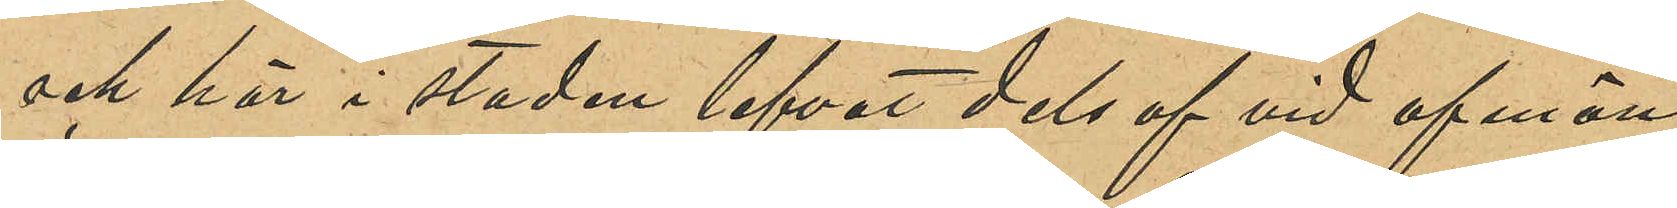och här i staden lefvat dels af vid afmön¬
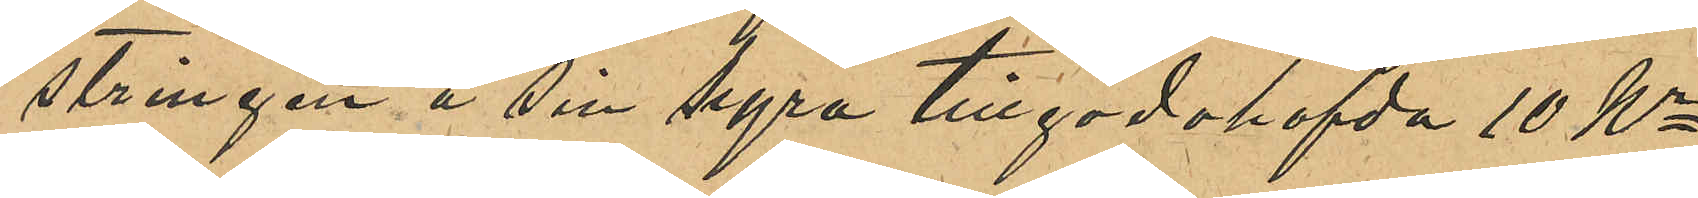stringen å sin hyra tillgodohafvda 10 Kr
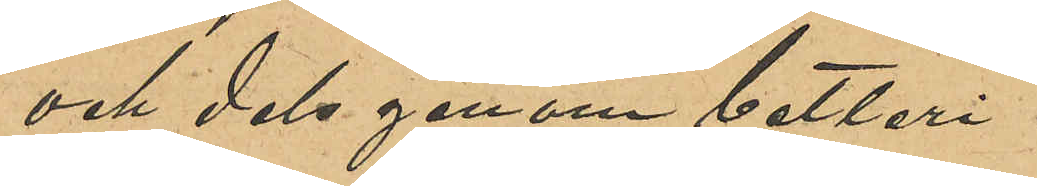och dels genom betleri.
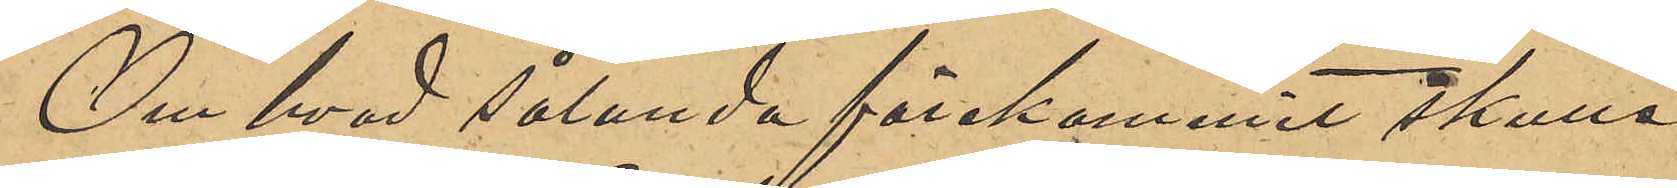Om hvad sålunda förekommit skulle
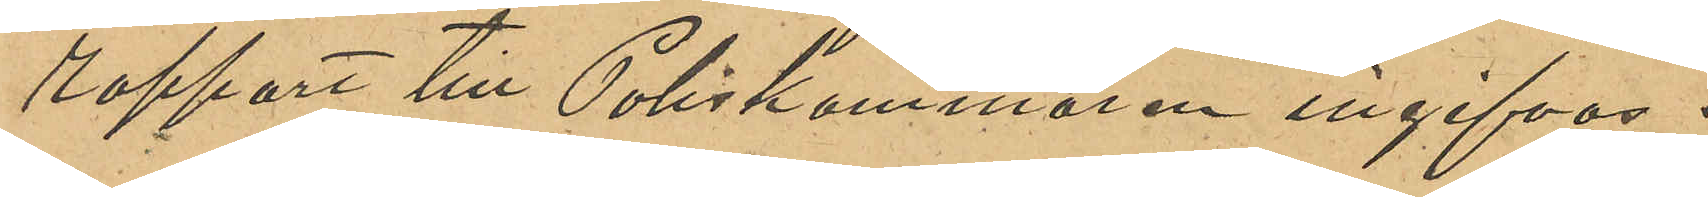rapport till Poliskammaren ingifvas.
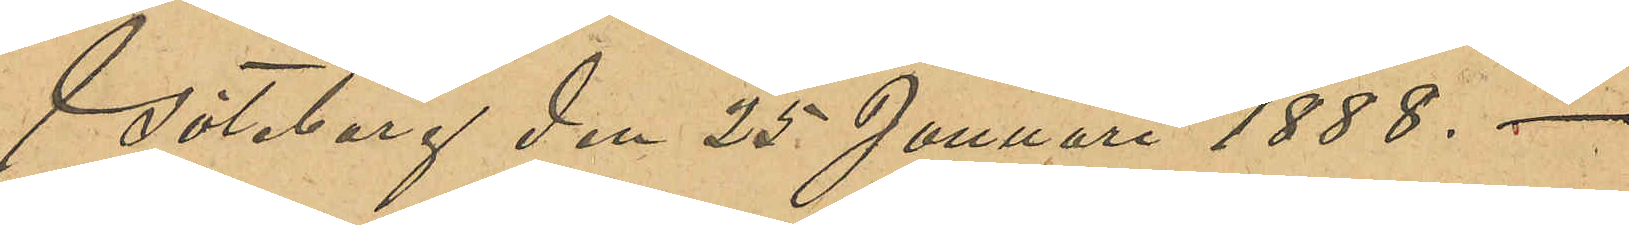Göteborg den 25 Januari 1888.
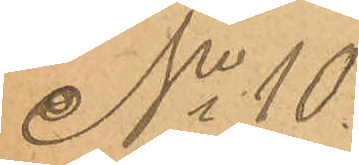No 10
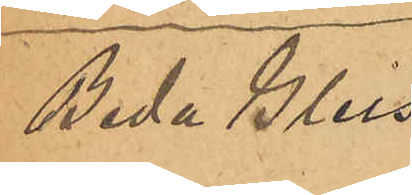Beda Gleis¬
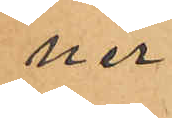ner.
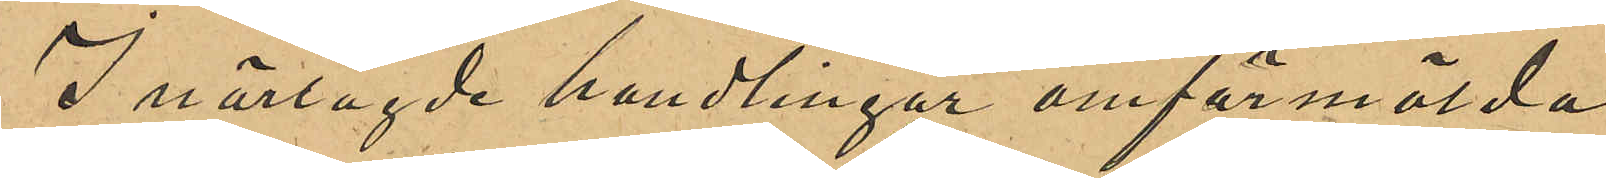I närlagde handlingar omförmälda
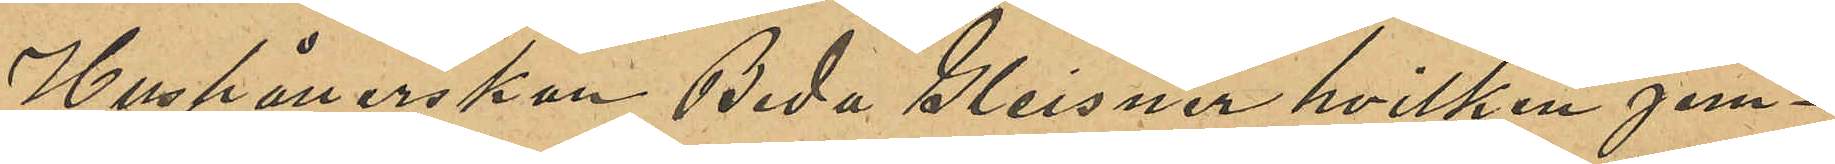Hushållerskan Beda Gleisner hvilken jem¬
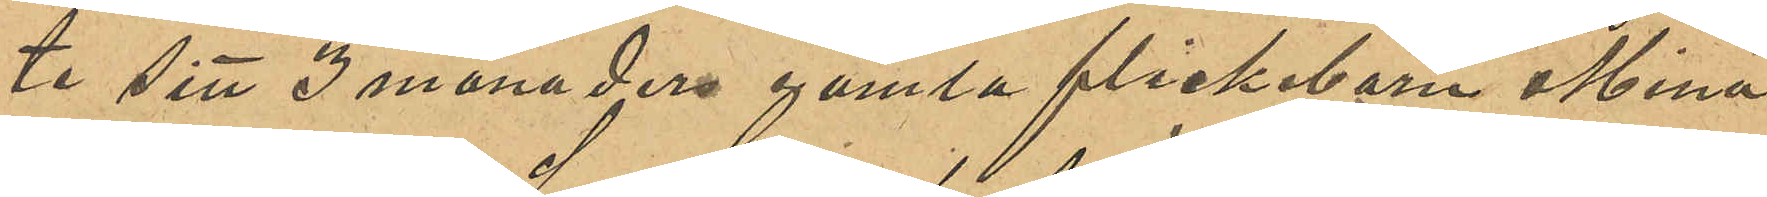te sitt 3 månader gamla flickebarn Mina
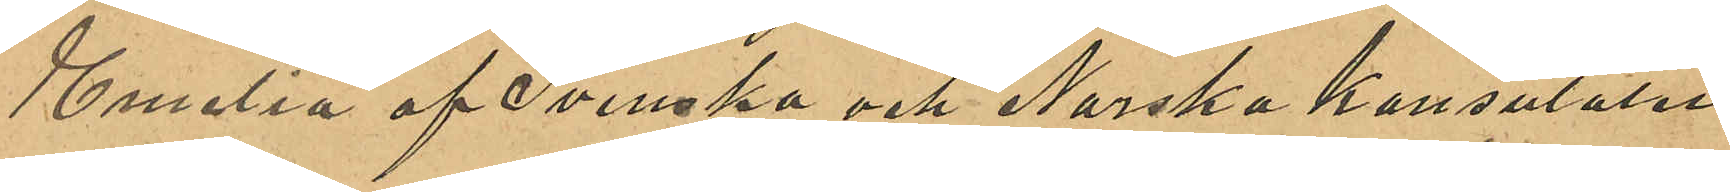Emelia af Svenska och Norska konsulatet
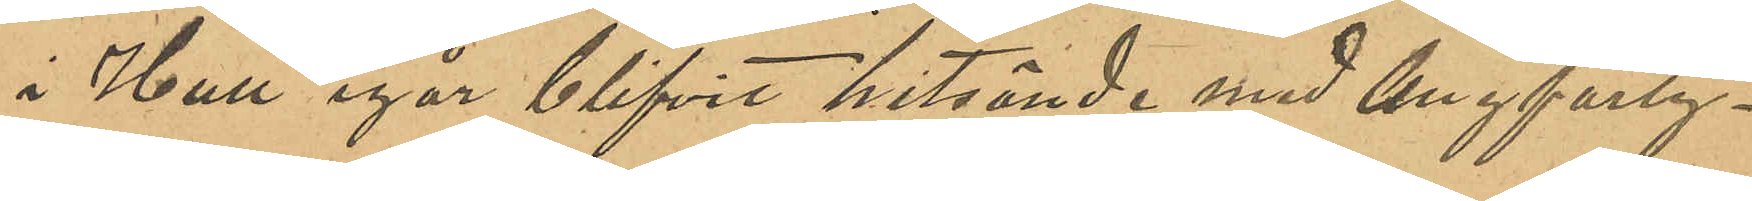i Hull igår blifvit hitsända med Ångfarty¬
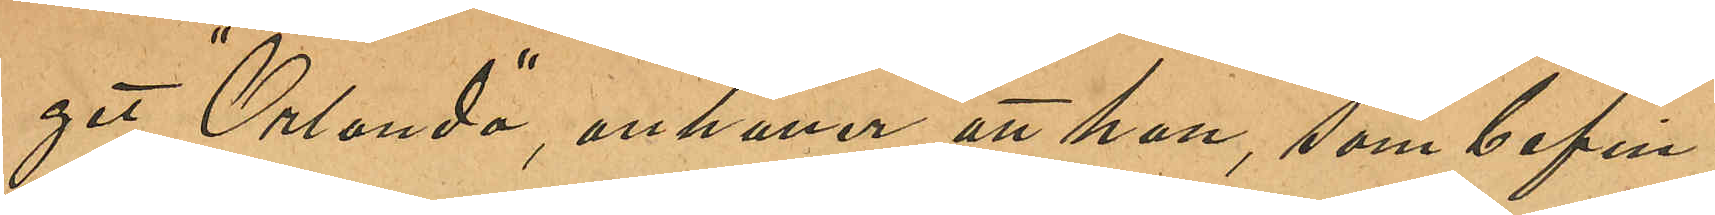get "Orlando", anhåller att hon, som befin¬
